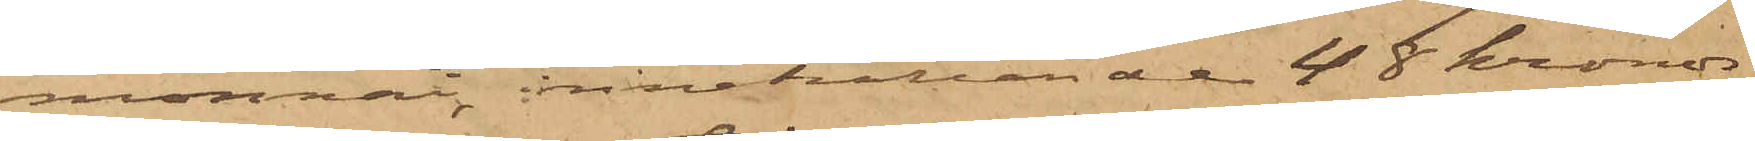monnai, innehållande 48 kronor.
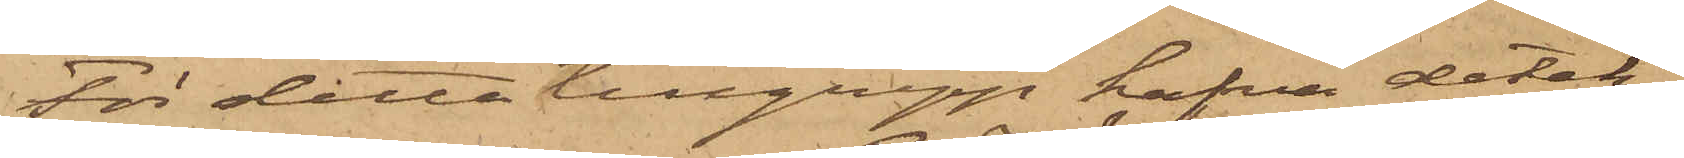För detta tillgrepp hafva detek¬
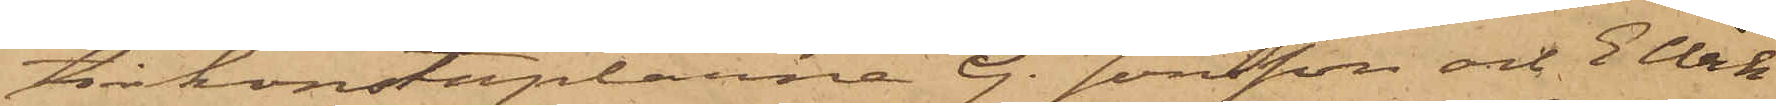tivkonstaplarne G. Jönsson och E Wik
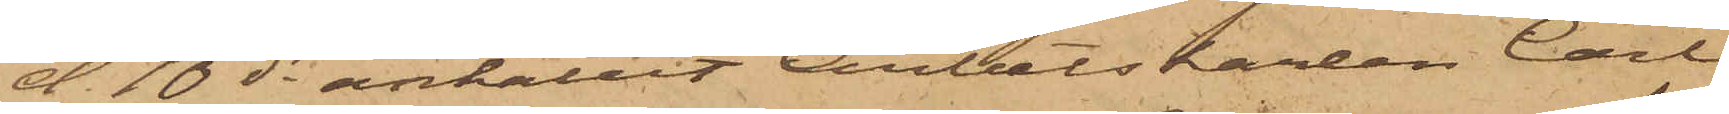d 10 ds anhållit Arbetskarlen Carl
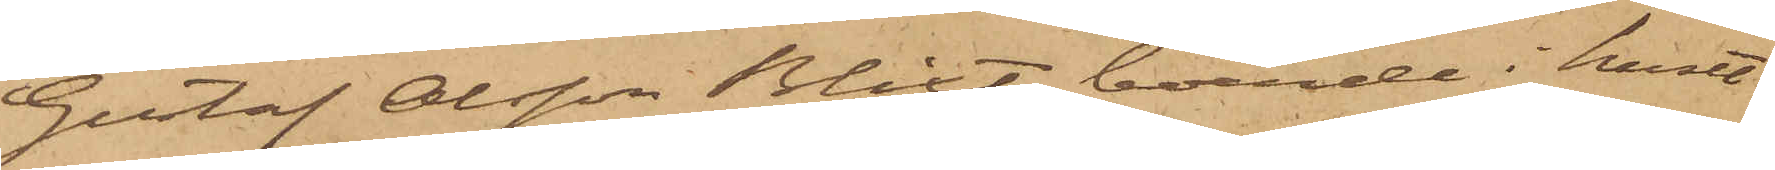Gustaf Olsson Blixt, boende i huset
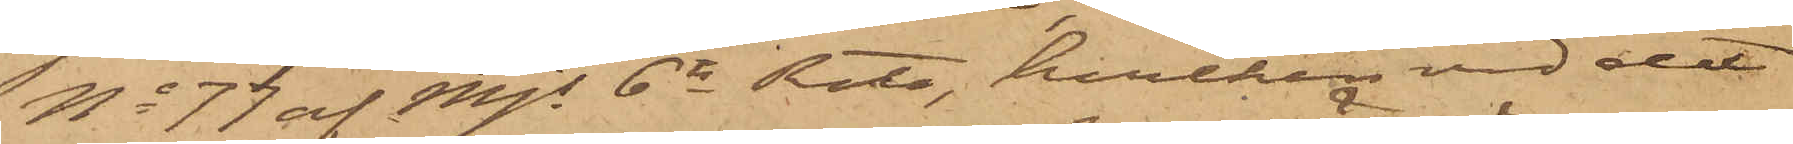No 77 af Mjs 6te Rote, hvilken vid det
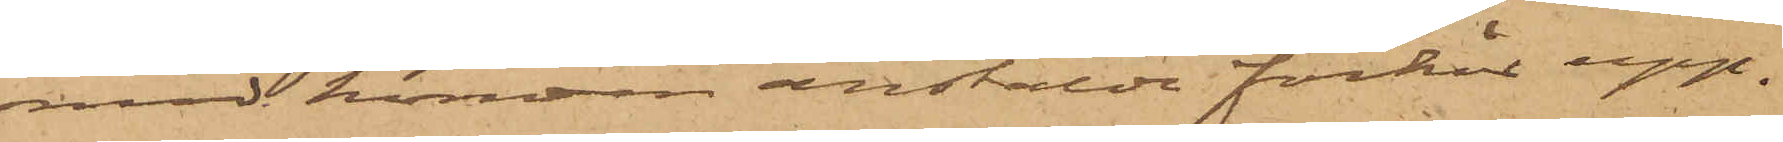med honom anstälda förhör upp¬
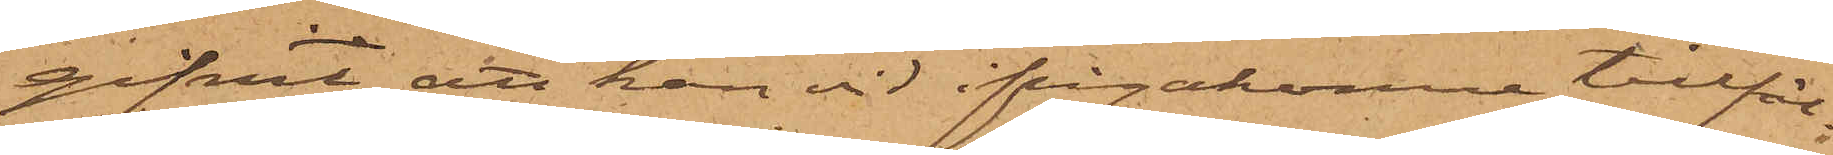gifvit, att han vid ifrågakomne tillfäl¬
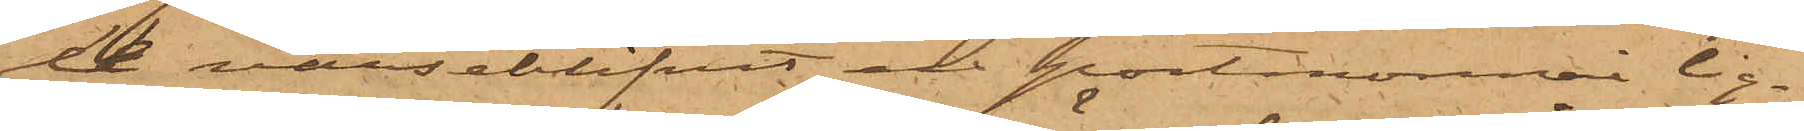le varseblifvit en portmonnai lig¬
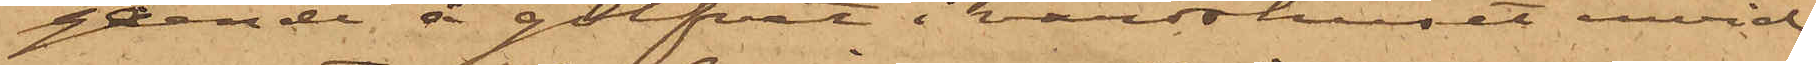gande å golfvet i värdshuset invid
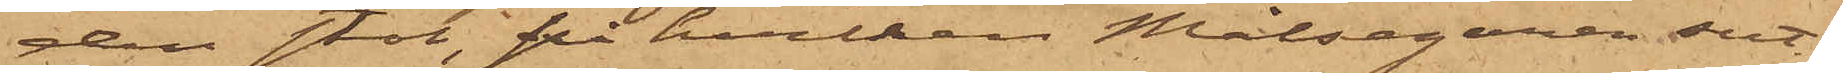den stol, på hvilken Målsegaren sut¬
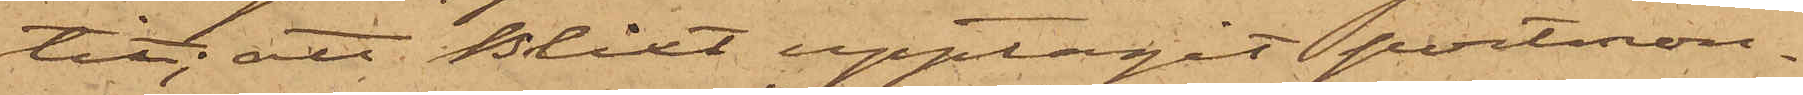tit; att Blixt upptagit portmon¬
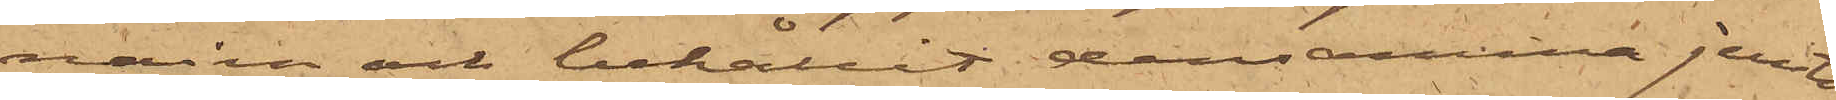nain och behållit densamma jemte
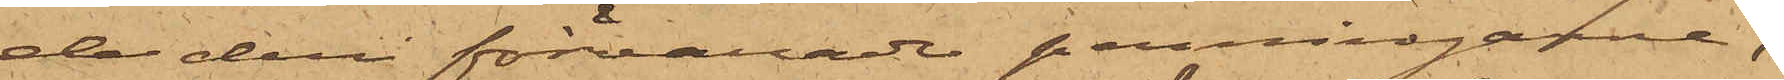de deri förvarade penningarne,
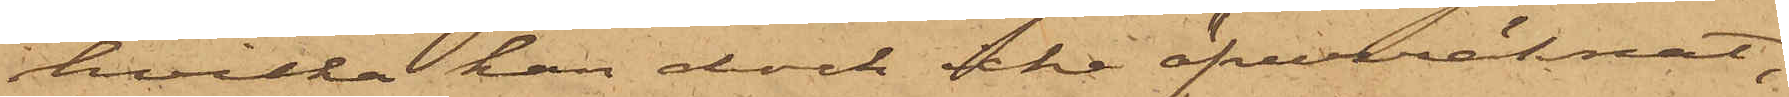hvilka han dock icke öfverräknat;
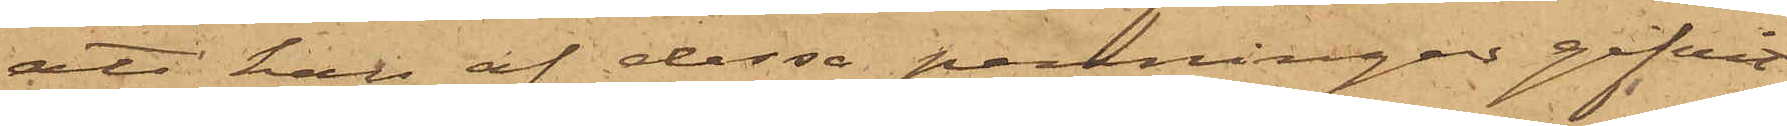att han af dessa penningar gifvit
